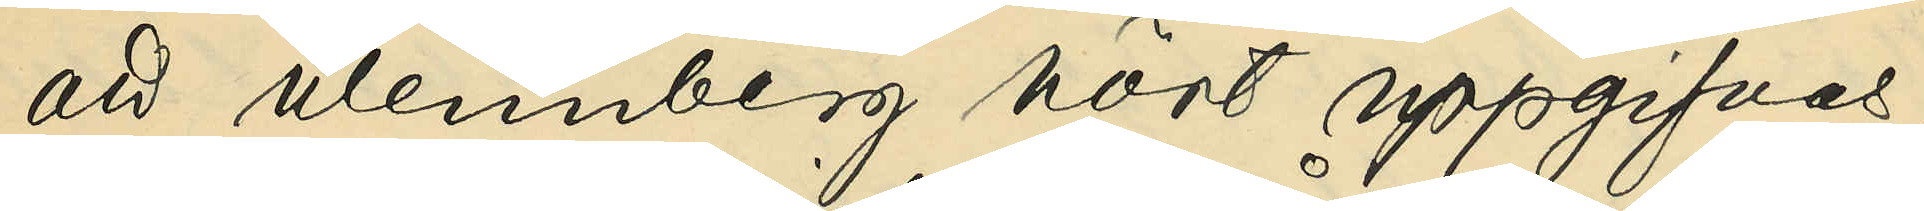att Wennberg hört uppgifvas,
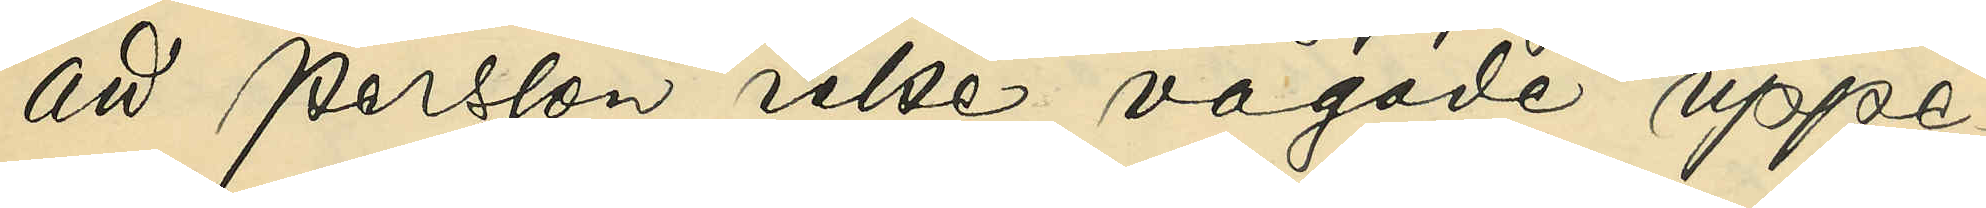att Persson icke vågade uppe¬
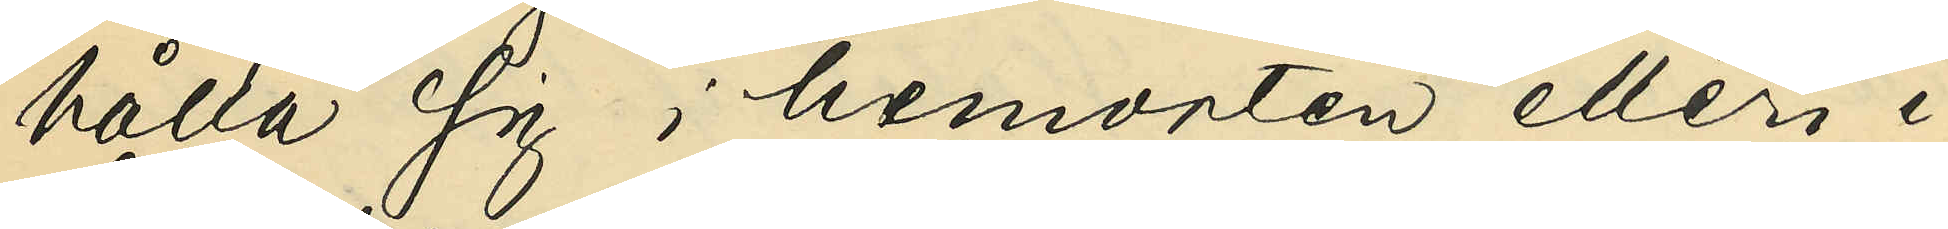hålla sig i hemorten eller i
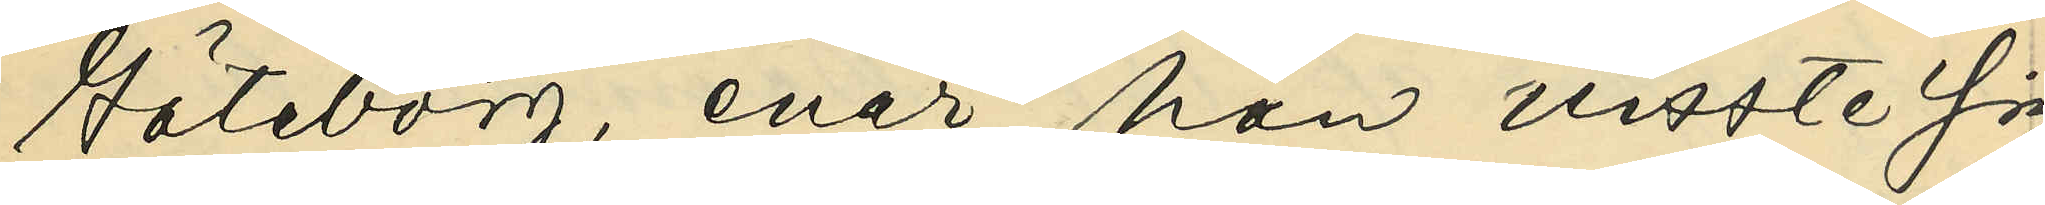Göteborg, enär han visste sig
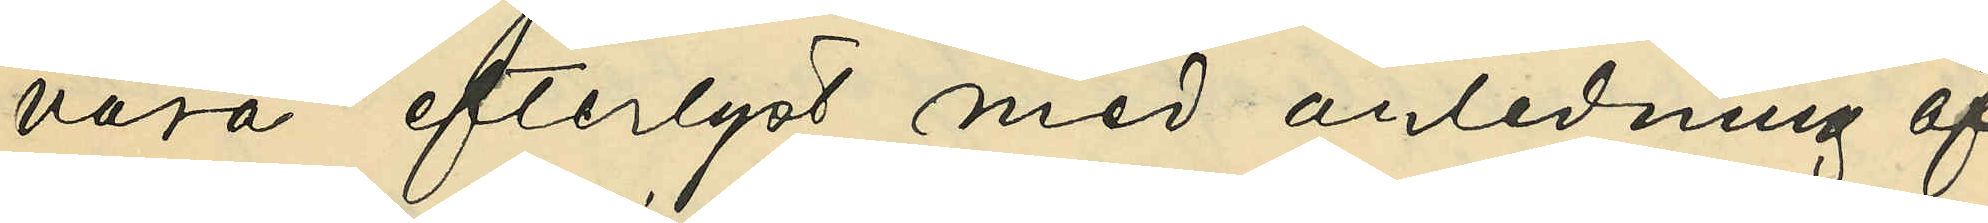vara efterlyst med anledning af
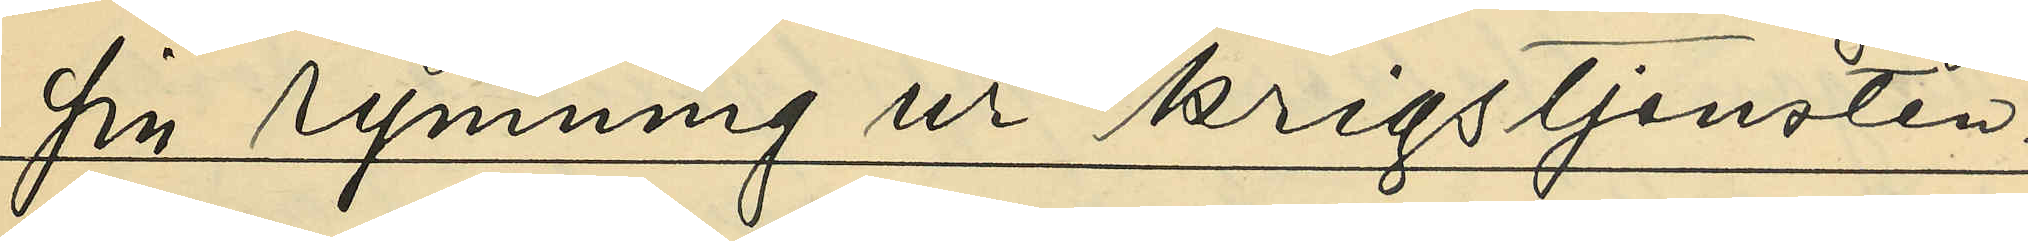sin rymning ur krigstjensten.
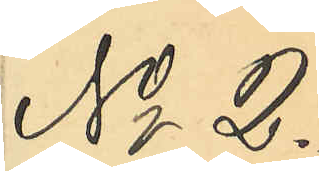No 2.
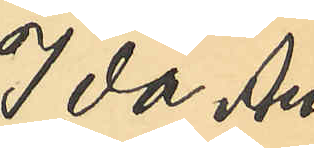Ida Au¬
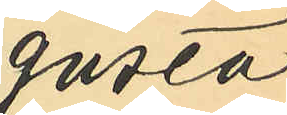gusta
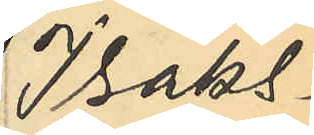Isaks¬
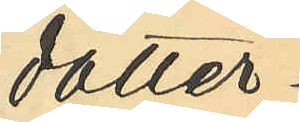dotter
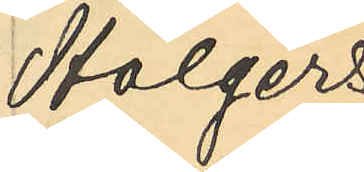Holgers¬
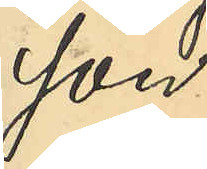son.
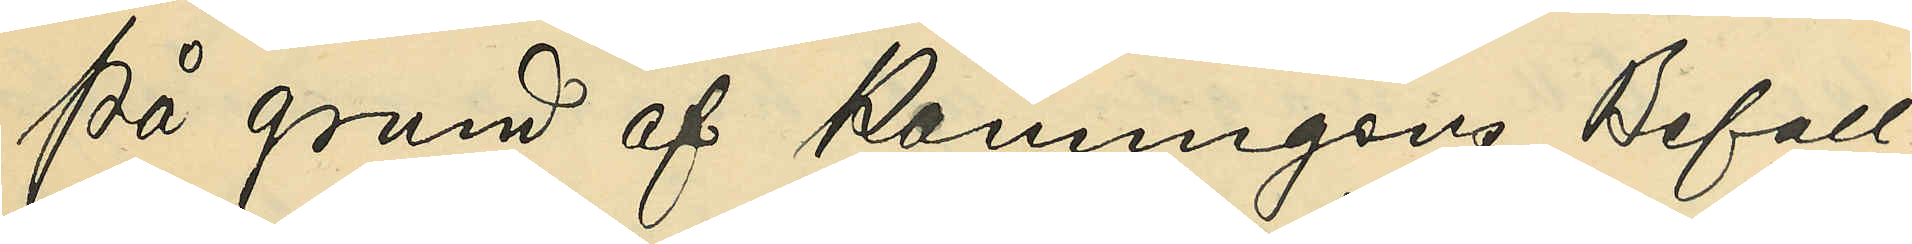På grund af Konungens Befall¬
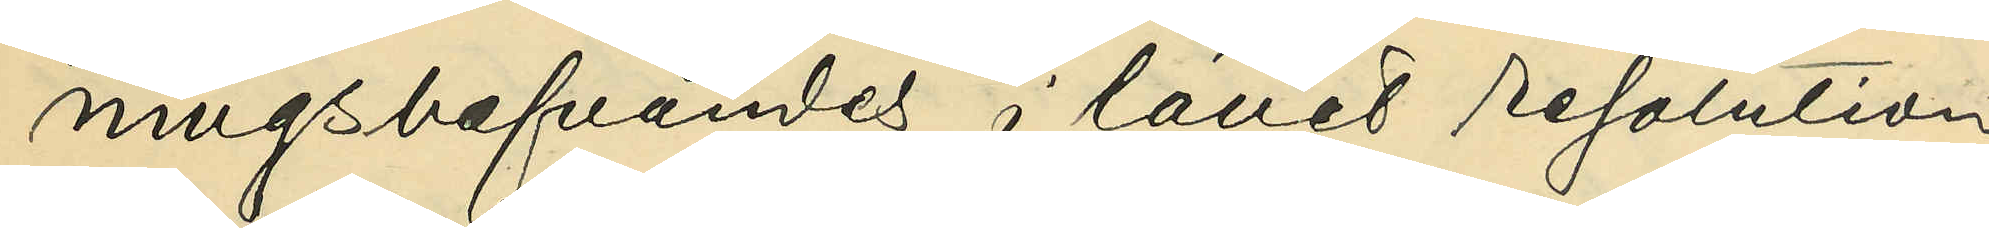ningshafvandes i länet resolution
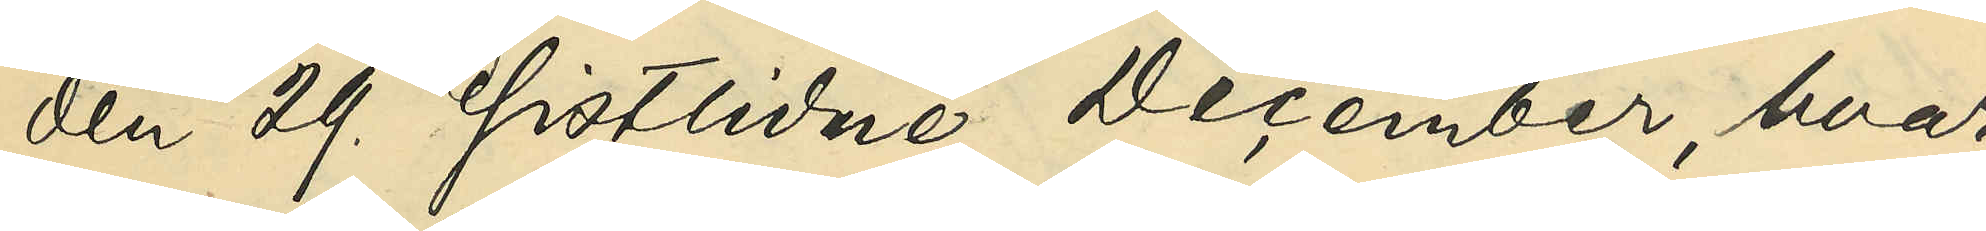den 29 sistlidne December, hvar¬
